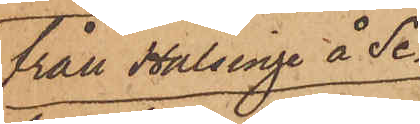från Halsinge å Se¬
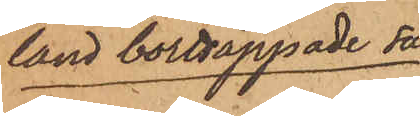land borttappade sa¬
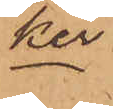ker.
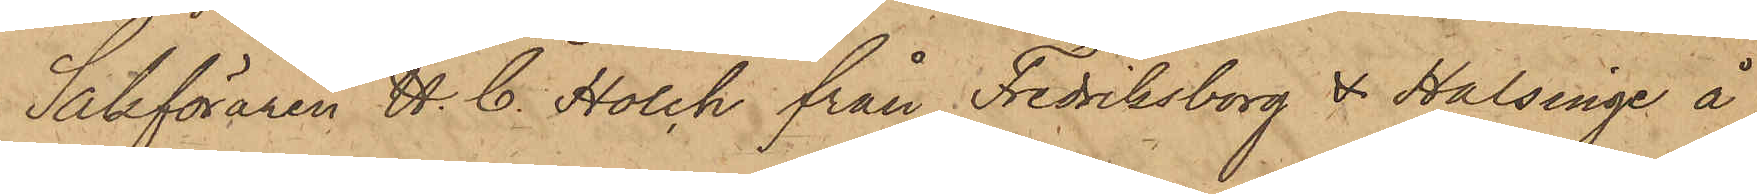Sakföraren H. C. Holch från Fredriksborg & Halsinge å
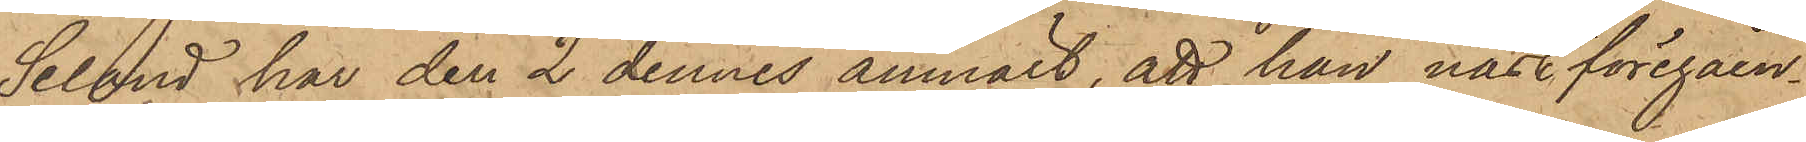Seland har den 2 dennes anmält, att han näst föregåen¬
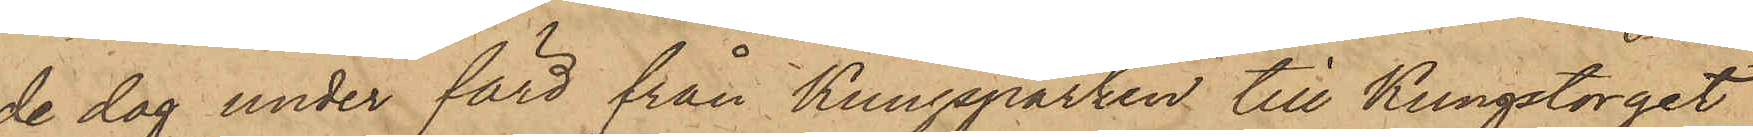de dag under färd från Kungsparken till Kungstorget
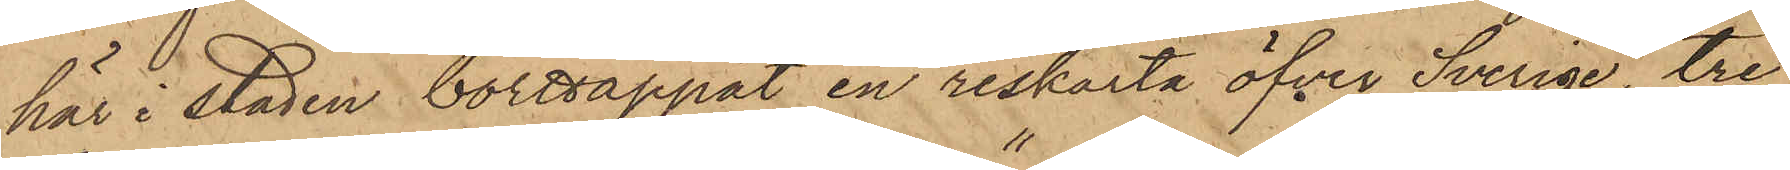här i staden borttappat en reskarta öfver Svenge, tre
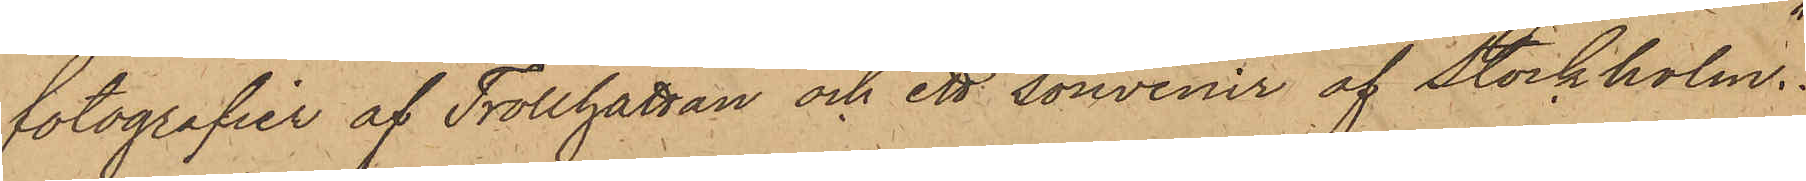fotografier af Trollhättan och ett "souvenir af Stockholm".
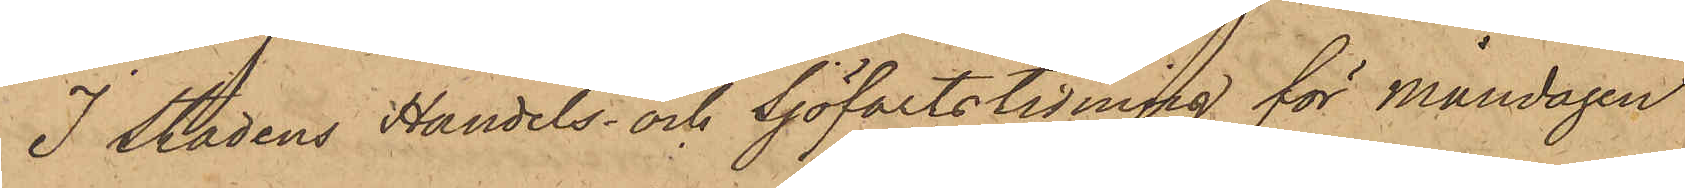I stadens Handels och Sjöfarts tidning för Måndagen
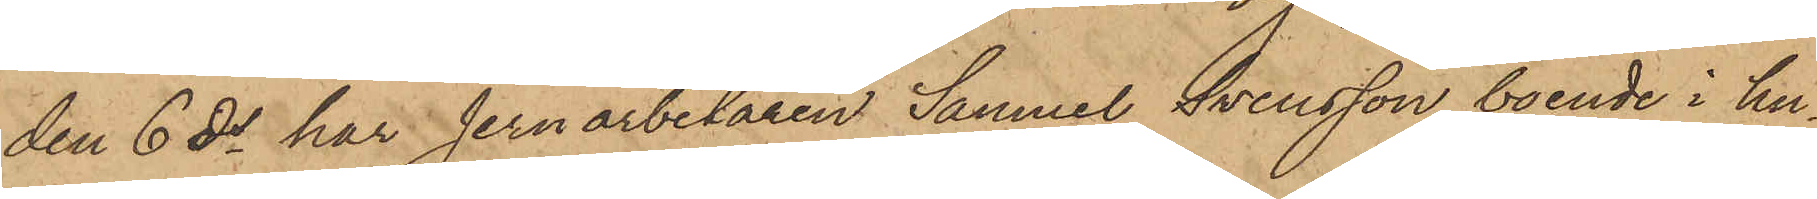den 6 ds har Jernarbetaren Samuel Svensson, boende i hu¬
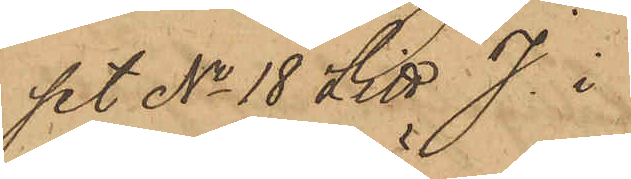set No 18 Litt. J i
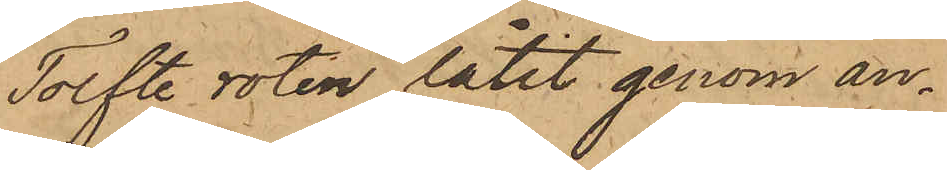Tolfte roten låtit genom an¬
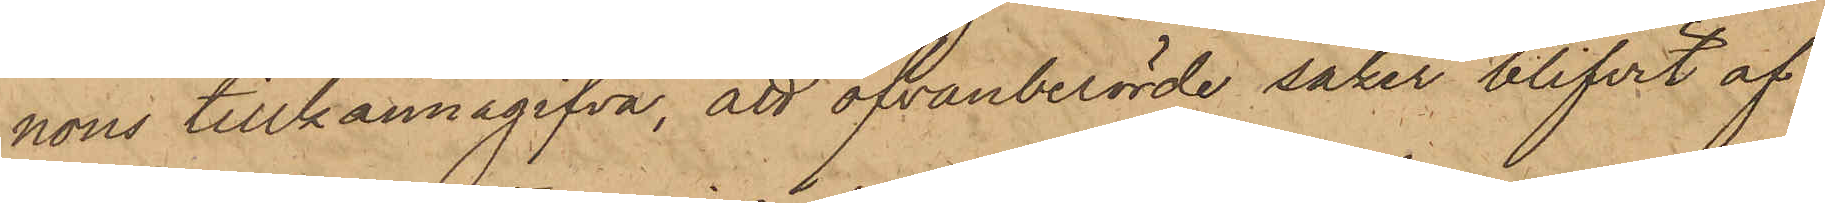nons tillkännagifva, att ofvanberörde saker blifvit af
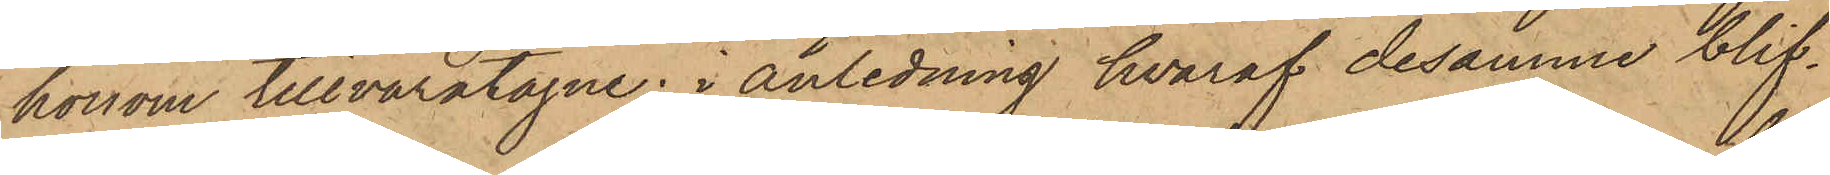honom tillvaratagne; i anledning hvaraf desamma blif¬
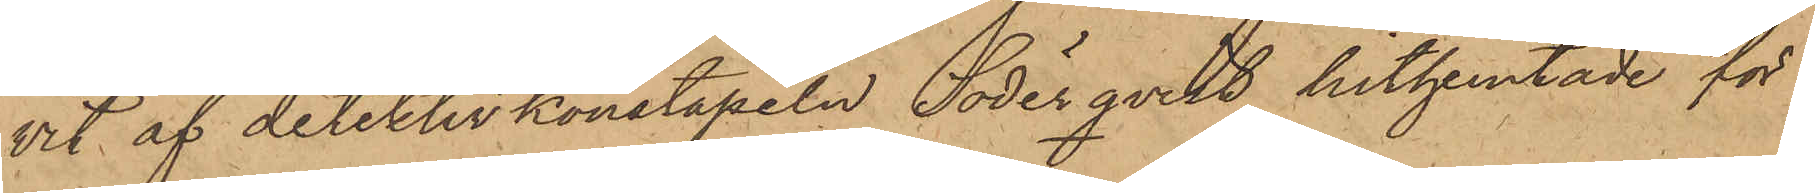vit af detektivkonstapeln Söderqvist hithemtade för
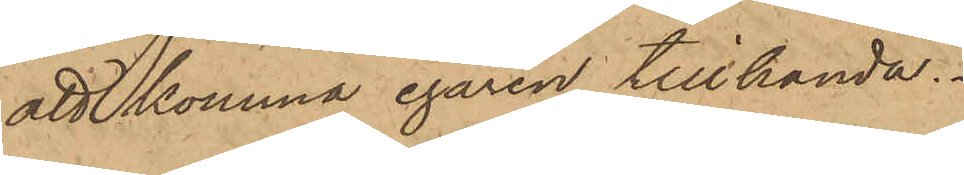att komma egaren tillhanda.
